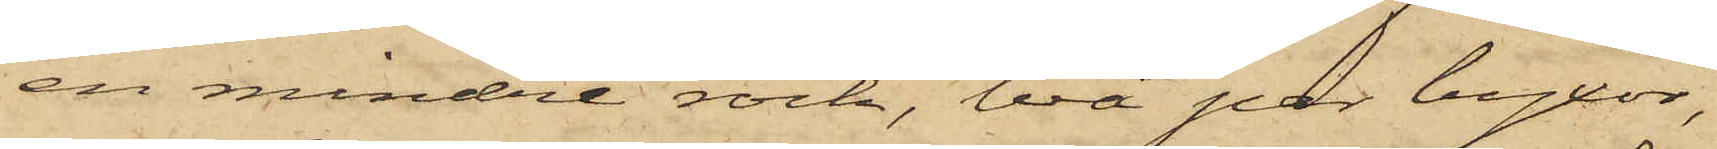en mindre rock, två par byxor,
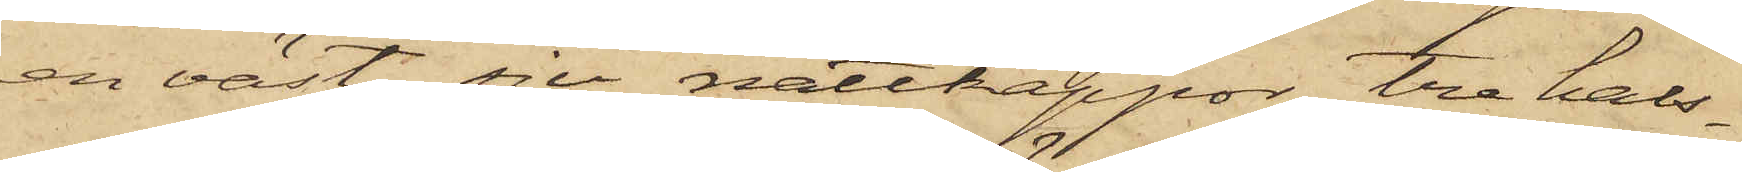en väst, sju nattkappor, tre hals¬
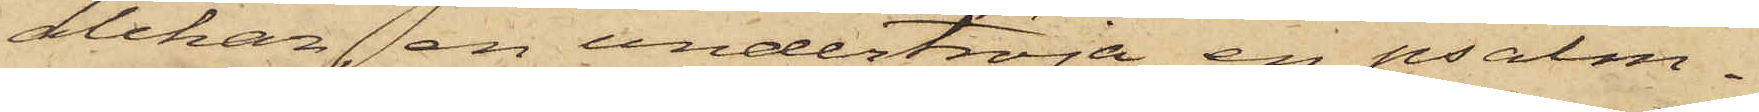dukar, en undertröja, en psalm¬
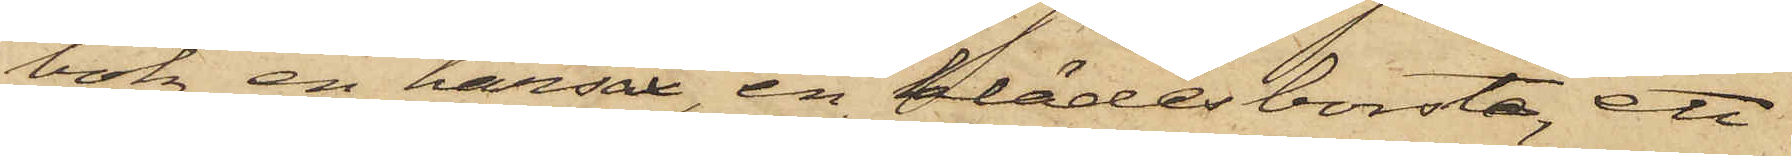bok, en hårsax, en klädesborste, ett
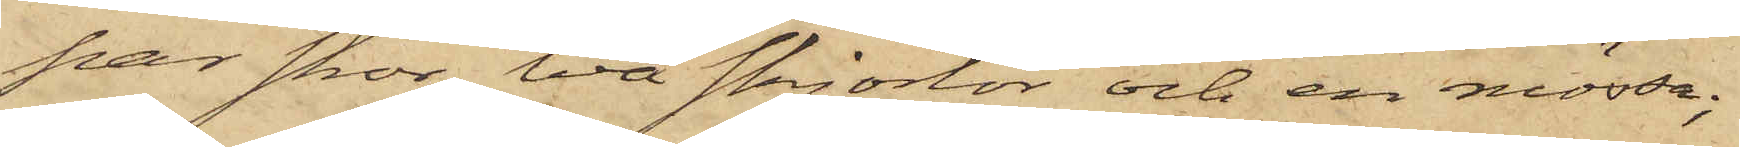par skor, två skjortor och en mössa;
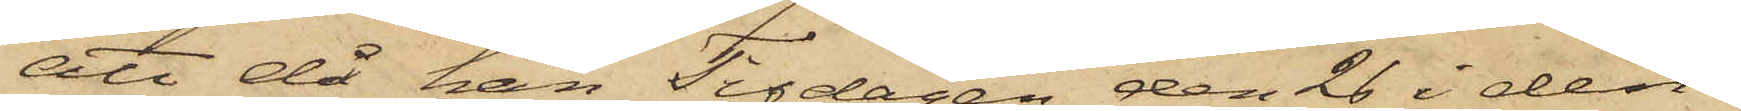att då han Tisdagen den 26 i den¬
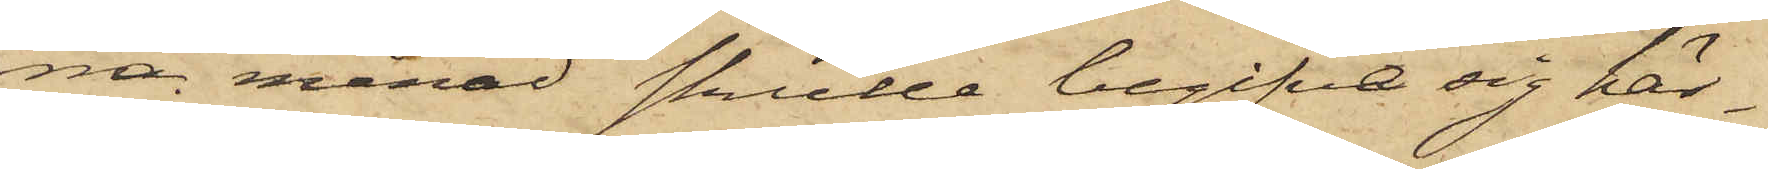na månad skulle begifva sig här¬
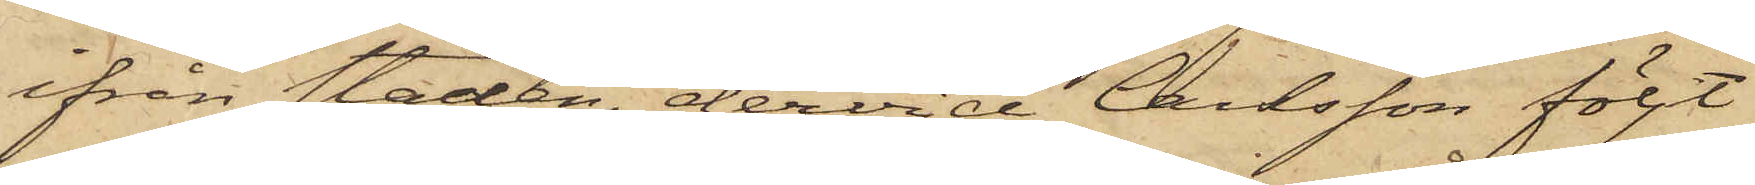ifrån staden, dervid Carlsson följt
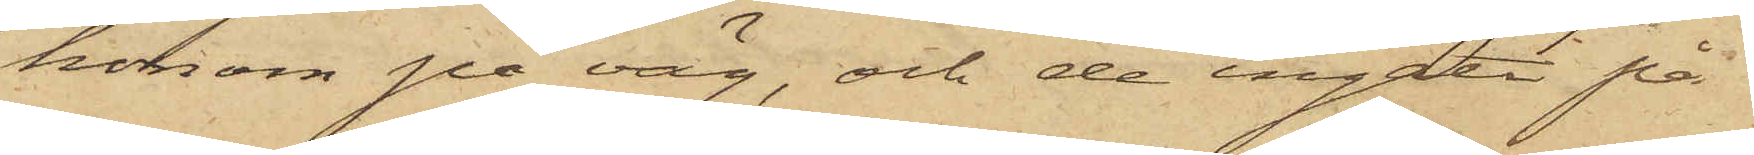honom på väg, och de ingått på
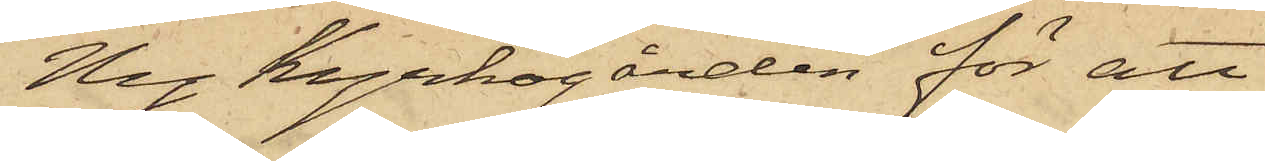Ny Kyrkogården för att
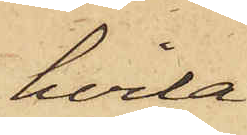hvila
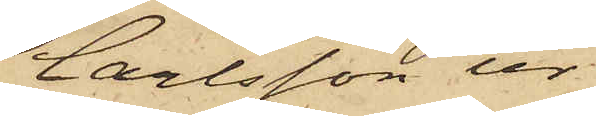Carlsson ur
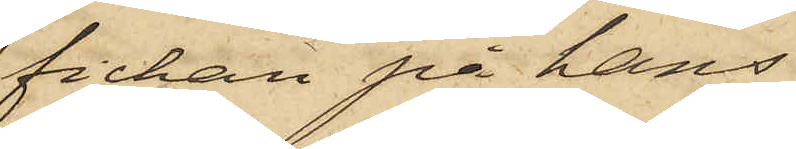fickan på hans
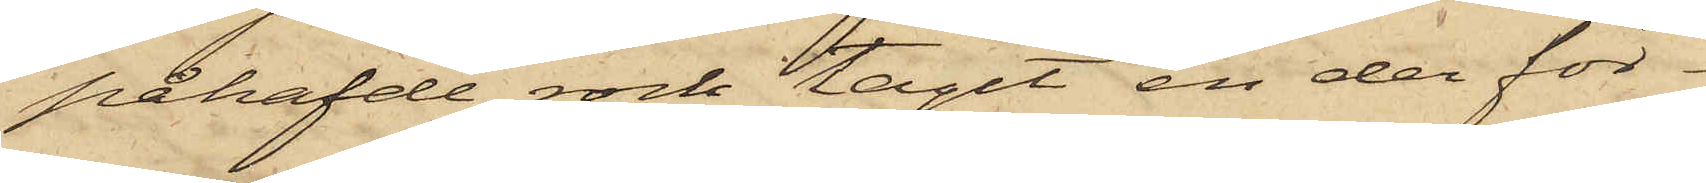påhafvde rock tagit en der för¬
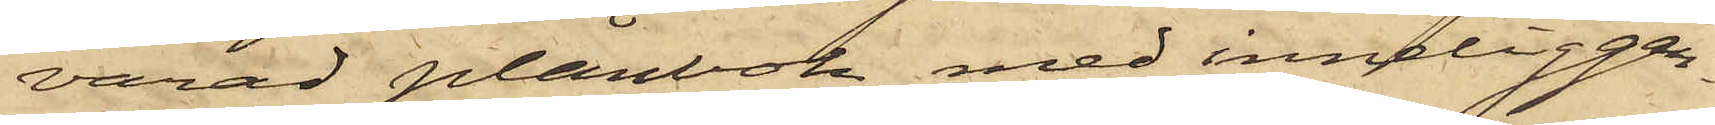varad plånbok med inneliggan¬
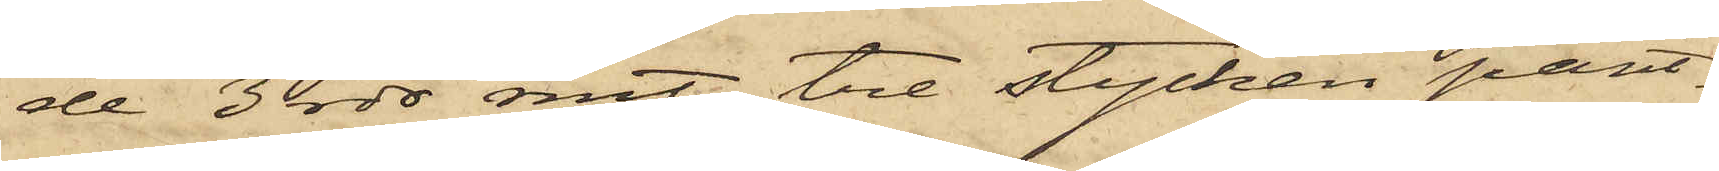de 3 rdr rmt, tre stycken pant¬
